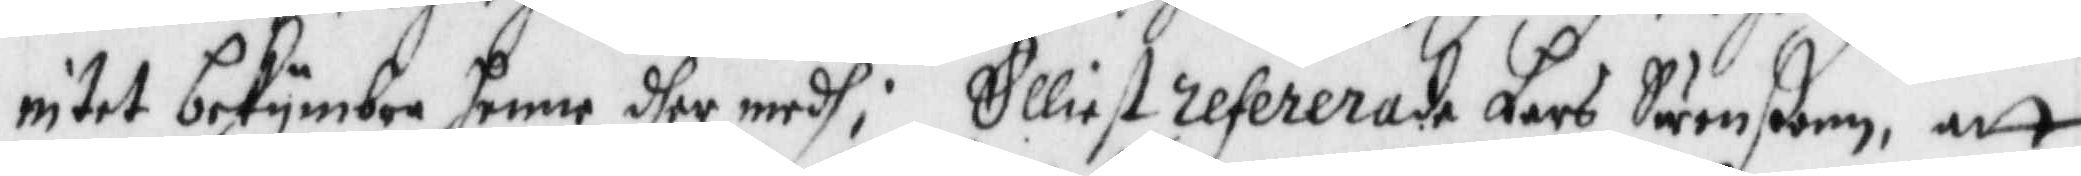intet bekymbra henne dher medh; Elliest refererade Lars Swenßon, att
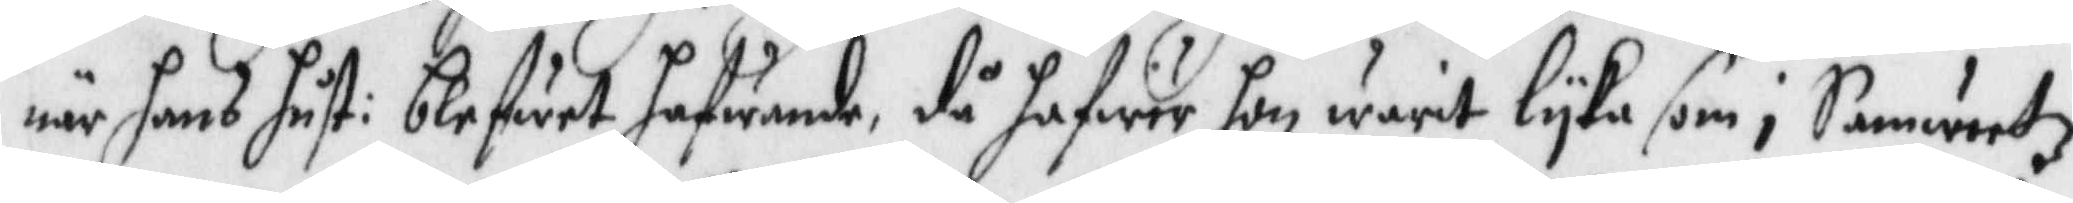när hans hust: blefwet hafwande, då hafwer hon warit lyka som i Samwetz
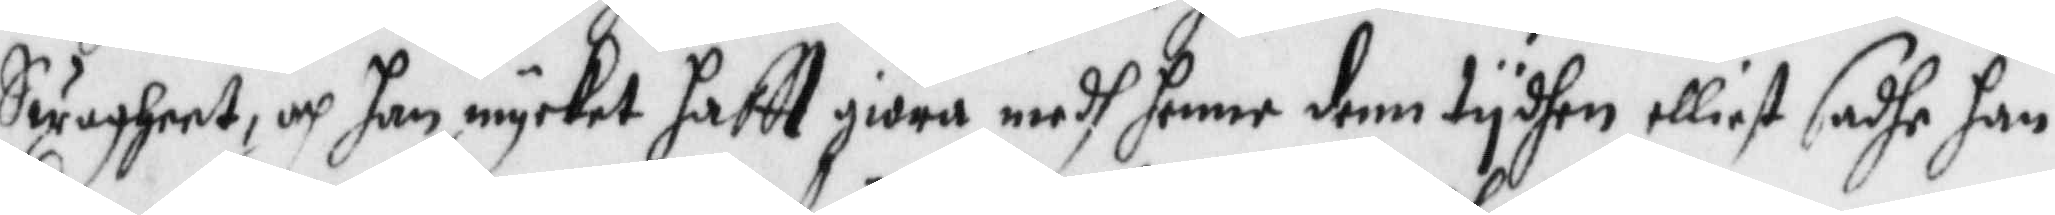Swagheet och han mycket haftt gira medh henne denn tydhen elliest sadhe han
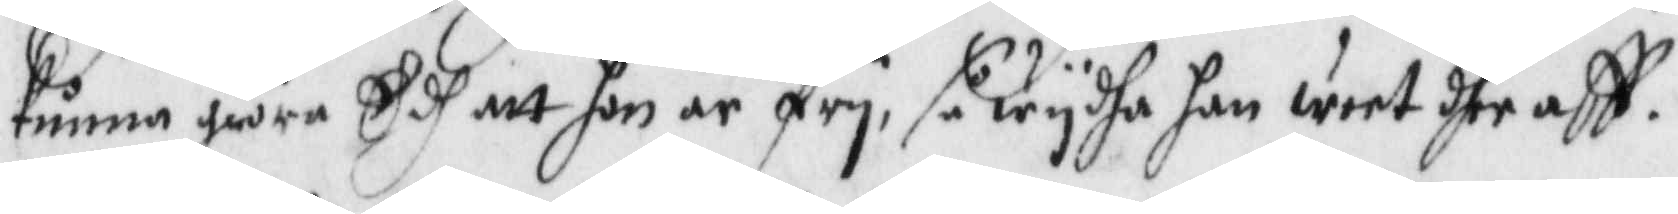kunna giöra Edh att hon är fry, så wydha dhe han weet dher aff.
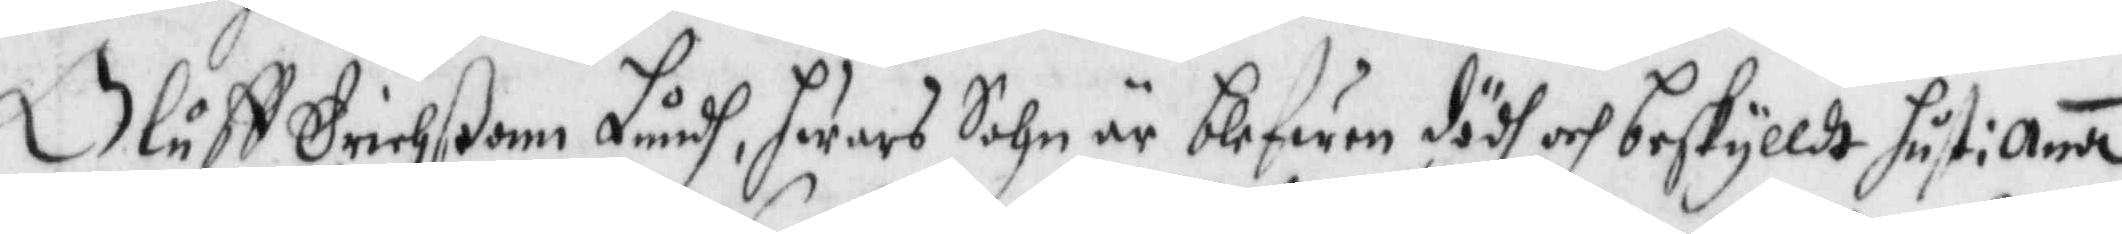Oluff Erichßonn Lundh, hwars Sohn är blefwen dödh och beskylldt hust: Anna
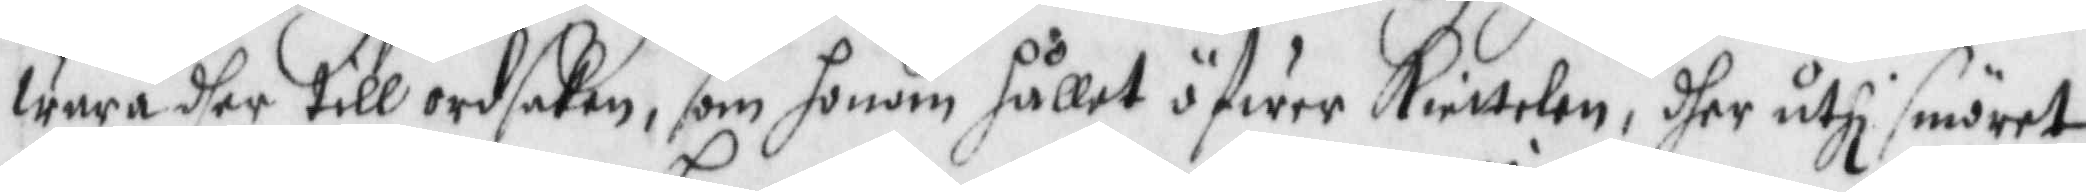wara dger til ordsaken, som honom hållet öfwet Kiettelen, dher uyhi smöret
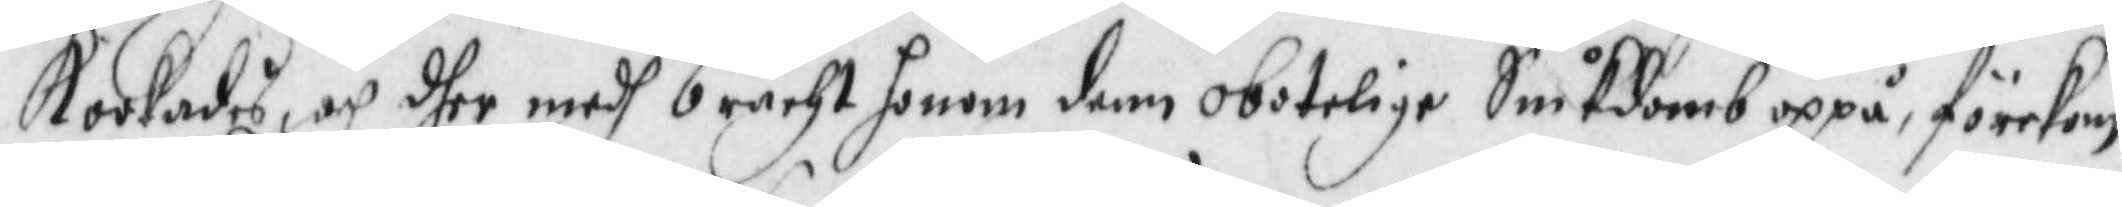Kokades och dher medh bracht honom denn obotelige Siukdomb oppå, förekom
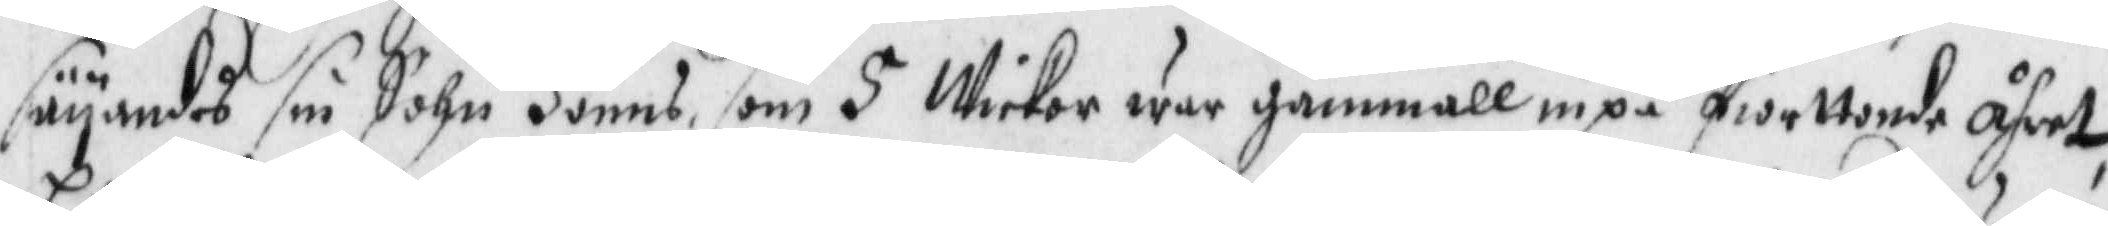säyandes sin Sohn Jönns som 5 Wickor war gammall inpå fiorttonde åhret
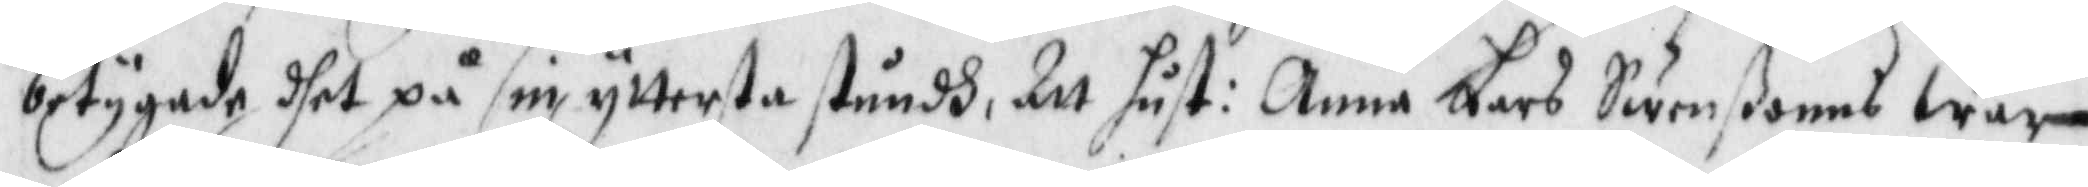betygade dhet på sin yttersta stundh, Att hust: Anna Lars Swenßonns war
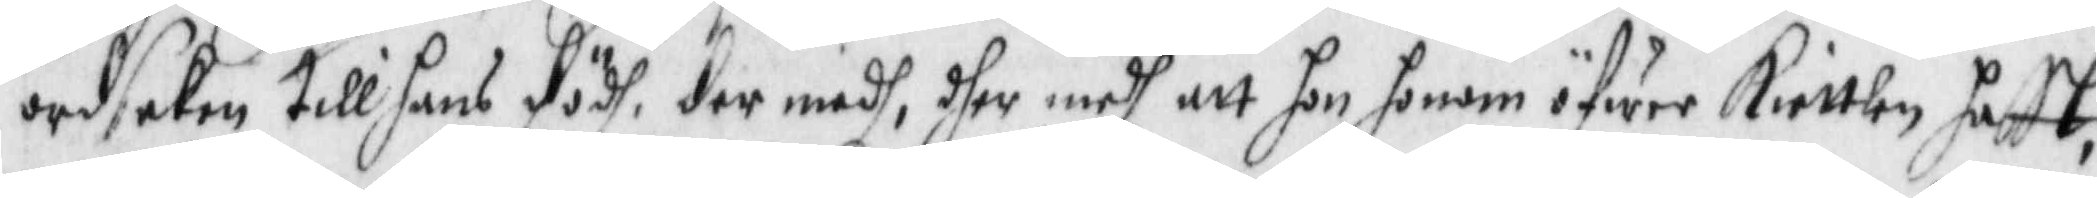ordsaken till hans dödh, der medh, dher medh att hon honom öfwer Kiettelen hafft,
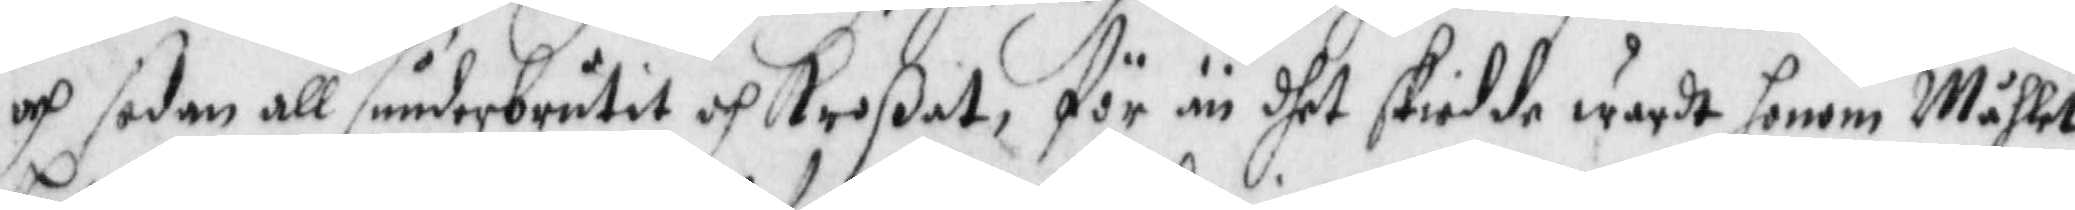och sedan all sunderbrutet och Kroßat, för än dhet skiedde wardt honom Måhlet
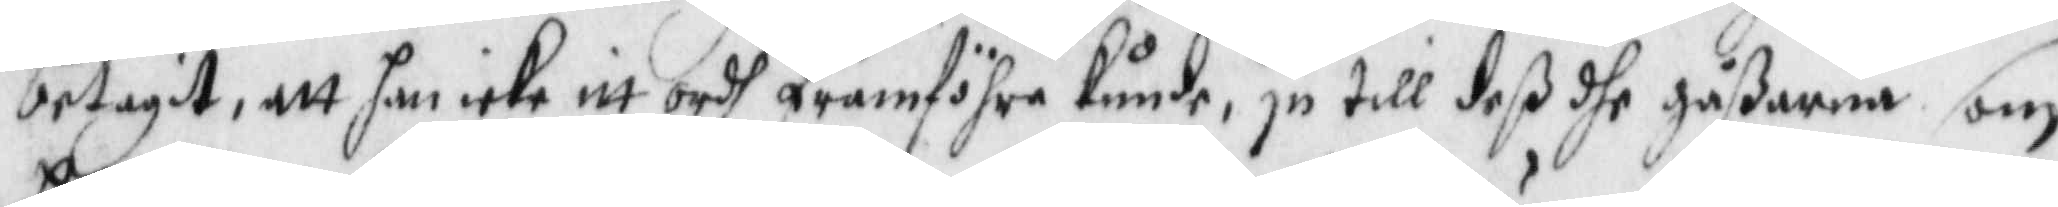betagit, att han icke itt ordh framföhra kunde, ju till deß dhe gåßarna som
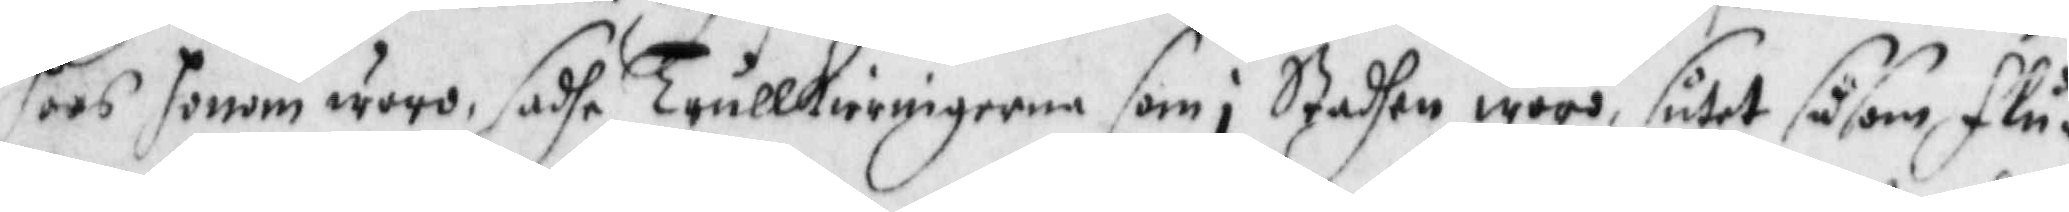hoos honom woro, sadhe Trullkierringarne som i Staden woro, sutet såsom flu¬
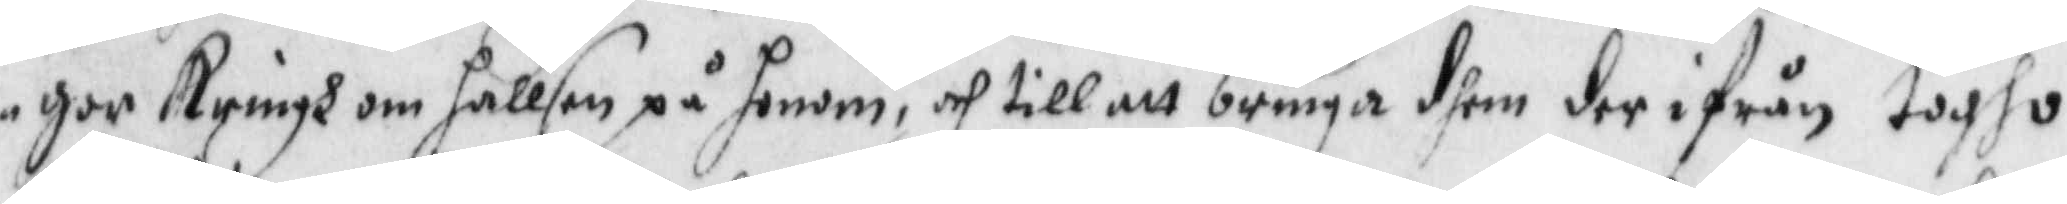gor Kringh om hallsen på honom, och till att bringa dhem der ifrån togho
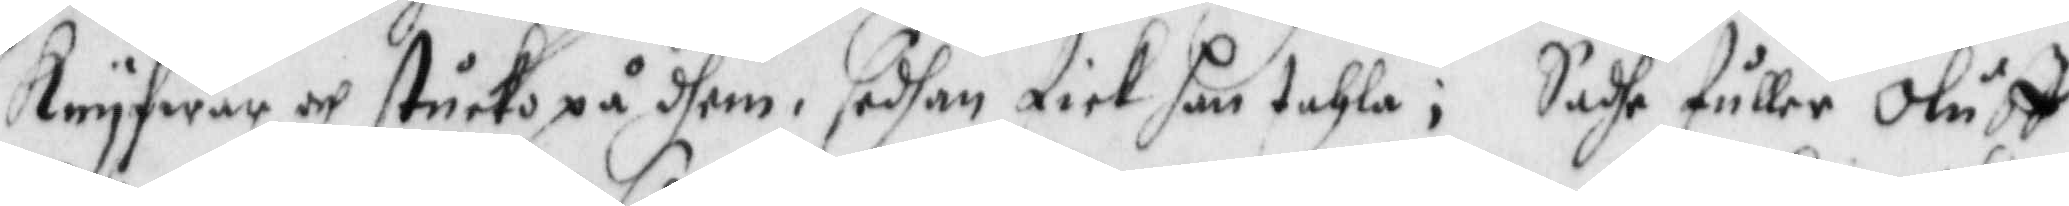Knyfwar och stucko på dhem, sedhan fick han tahla; Sadhe fuller Oluff
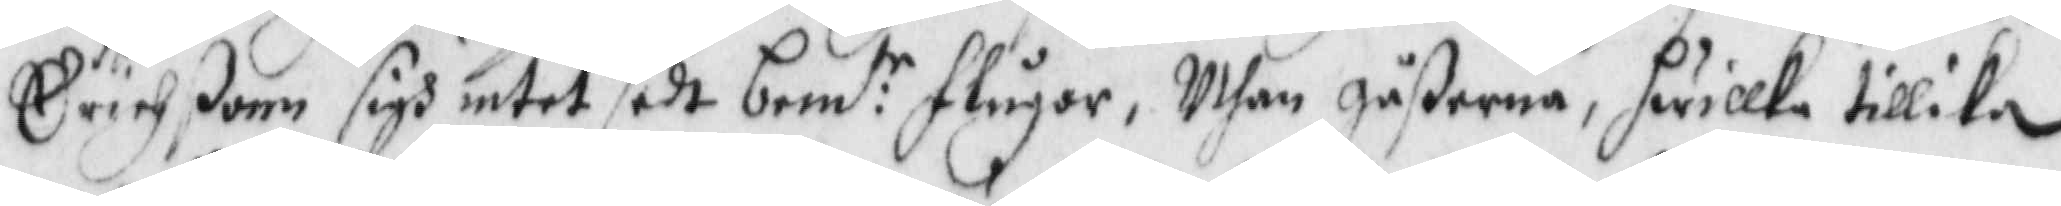Erichßonn sigh intet sedt bem:te flugor, Uthan gåßarna, hwilka tillika 
